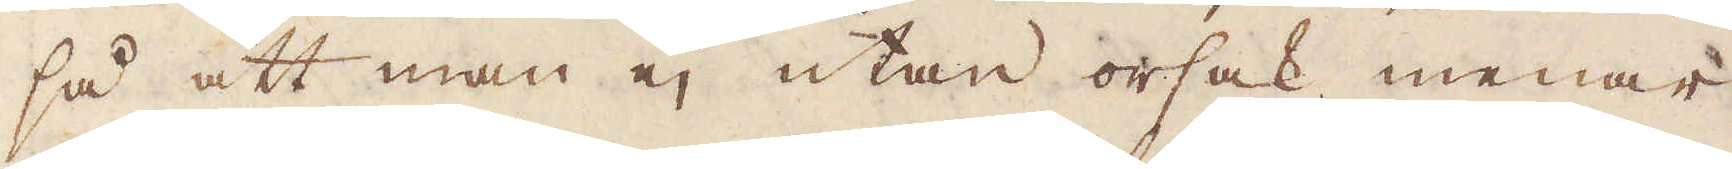så att man ej utan orsak menar
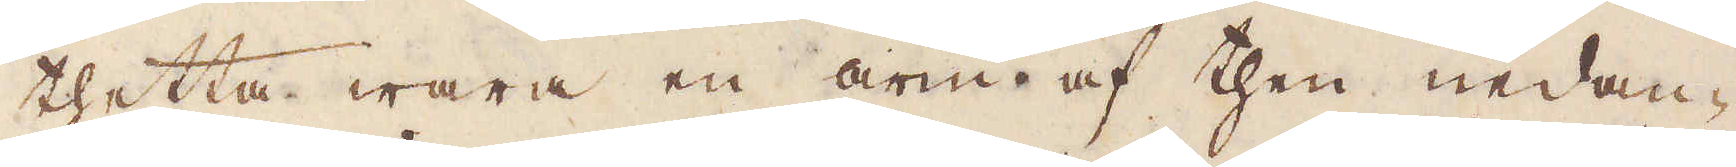thetta wara en arm af then nedan-
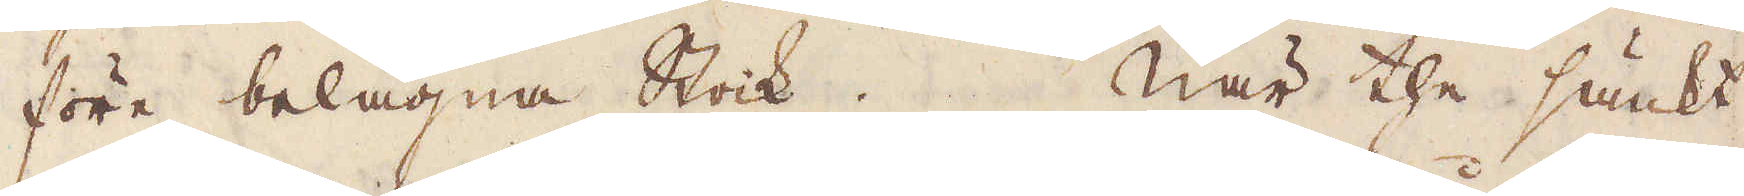före belägna Stock. När the sänkt
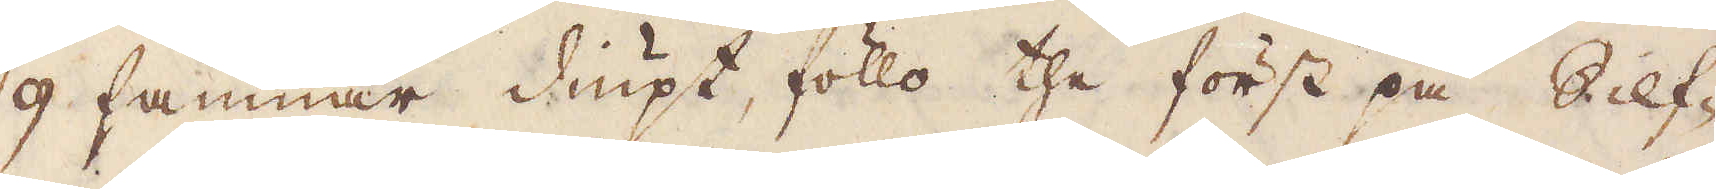9 famnar diupt, föllo the först på Silf-
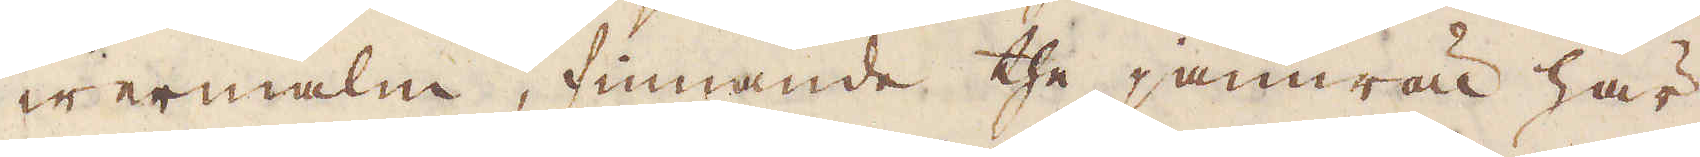wermalm, finnande the jämwäl här
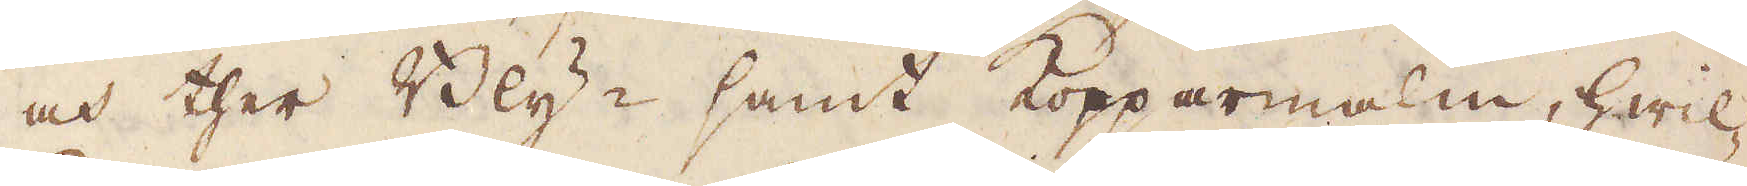och ther Bly- samt Kopparmalm, hwil-
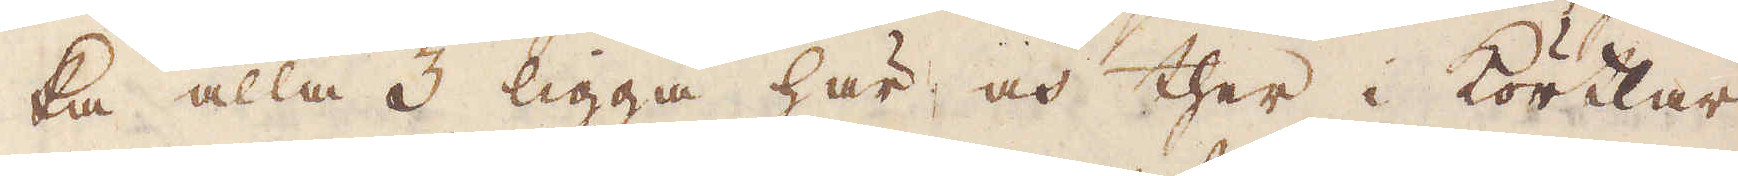ka alla 3 ligga här och ther i Körtlar
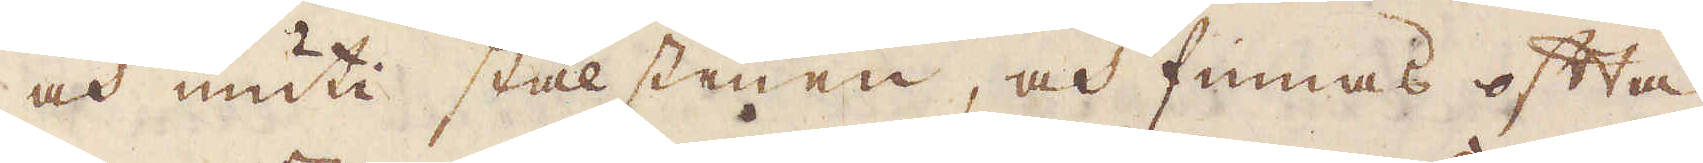och inuti stålstenen, och finnas ofta
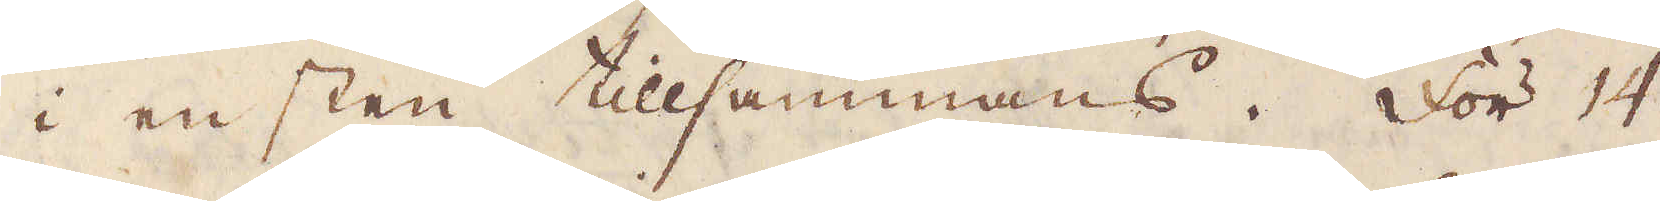i en sten tillsammans. För 14
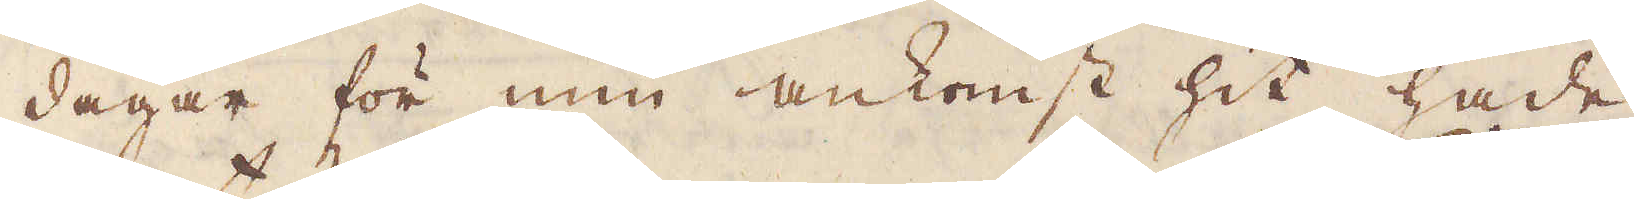dagar för min ankomst hit hade
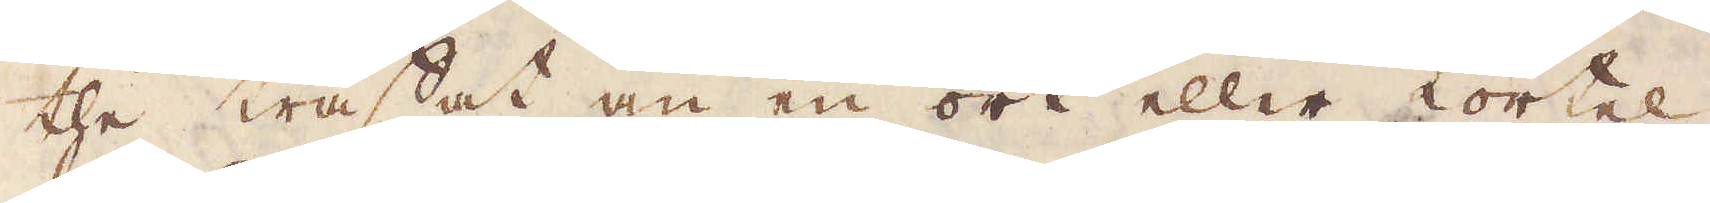the träffat an en ort eller körtel
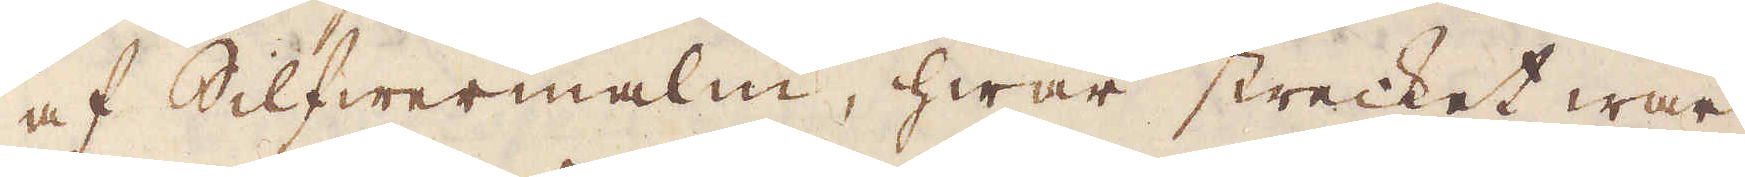af Silfwermalm, hwar strecket war
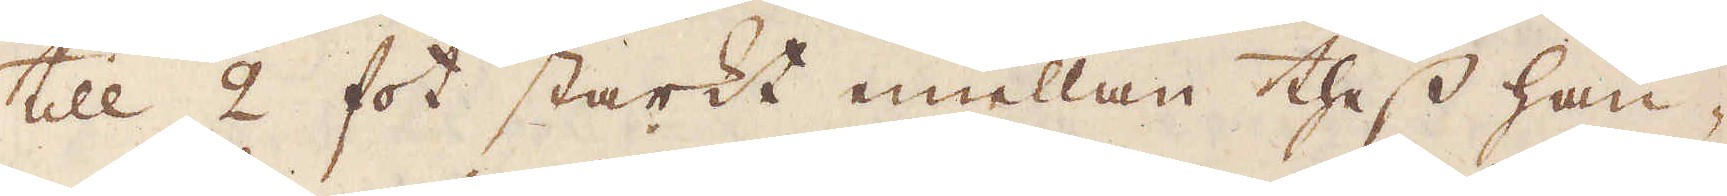till 2 fot starkt emellan thess hän-
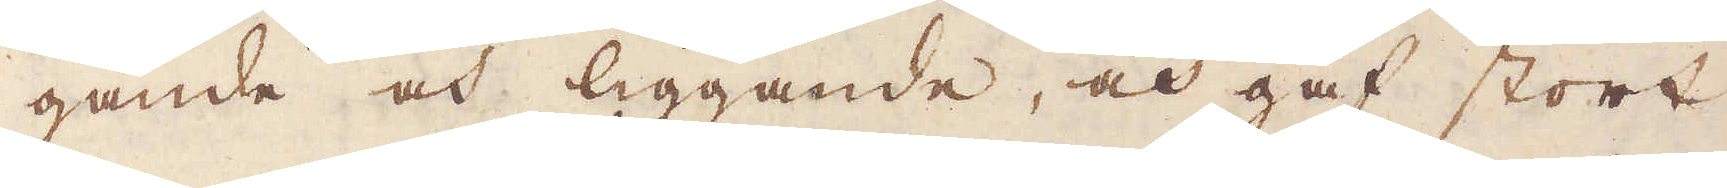gande och liggande, och gaf stort
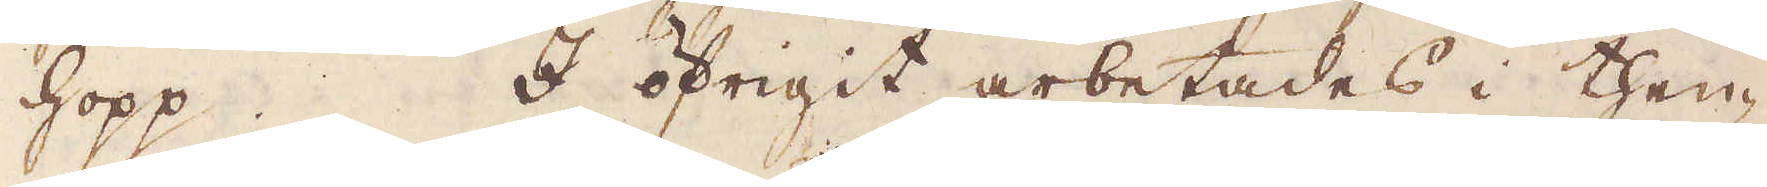hopp. I öfrigit arbetades i then-
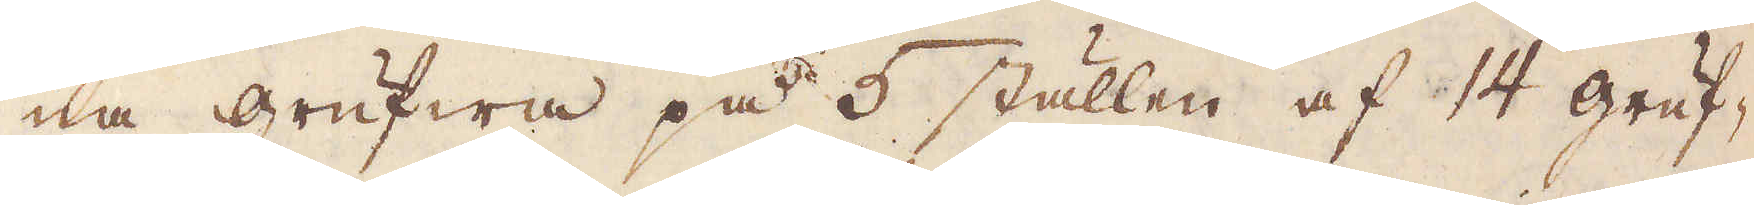na grufwa på 5 ställen af 14 gruf-
